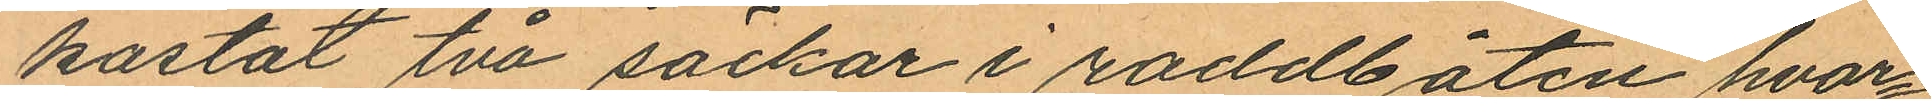kastat två säckar i roddbåten hvar¬
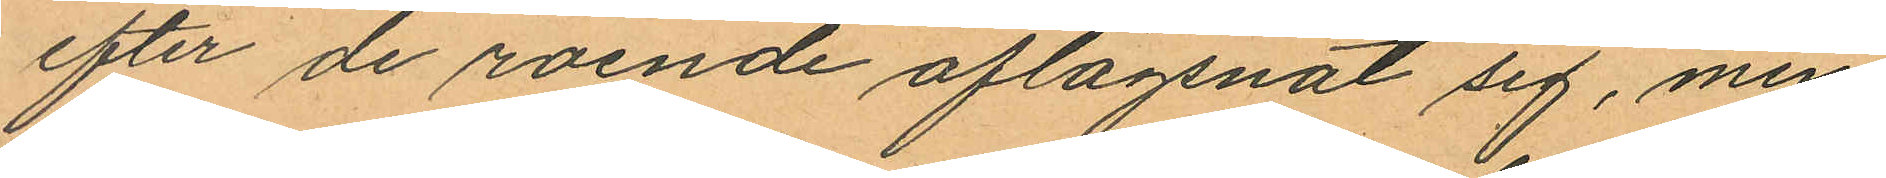efter de roende aflägsnat sig, men
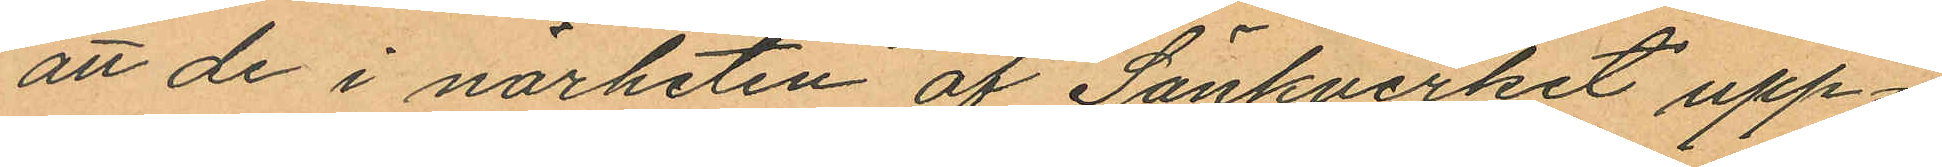att de i närheten af Sänkverket upp¬
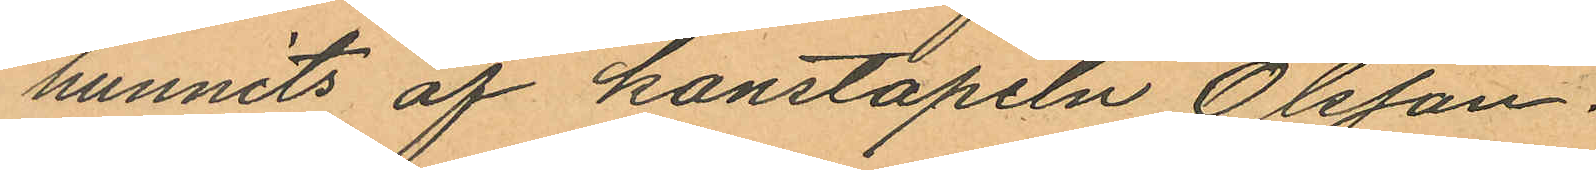hunnits af konstapeln Olsson.
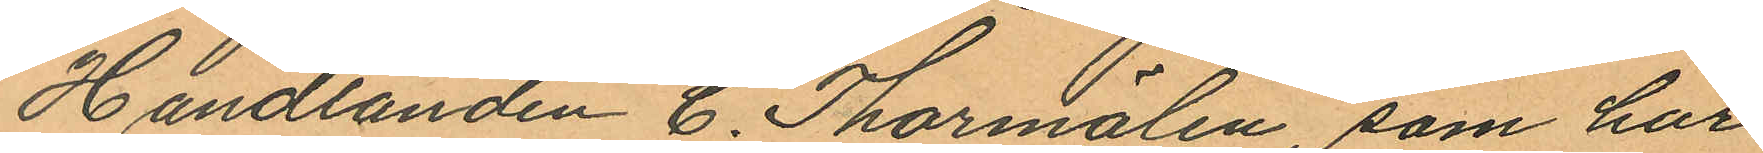Handlanden C. Thormälen, som har
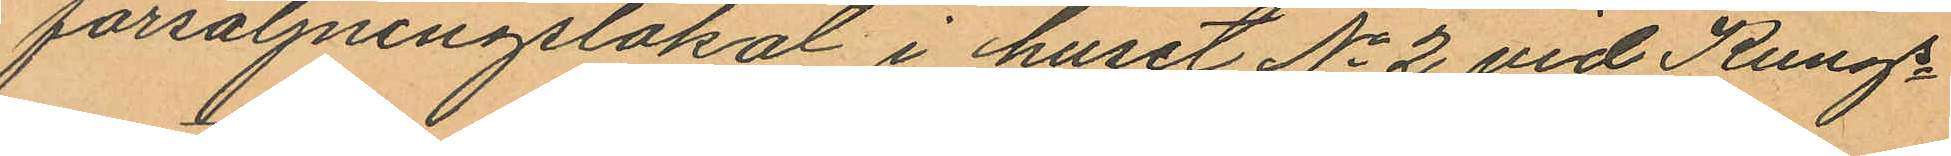försäljningslokal i huset No 2 vid Kungs¬
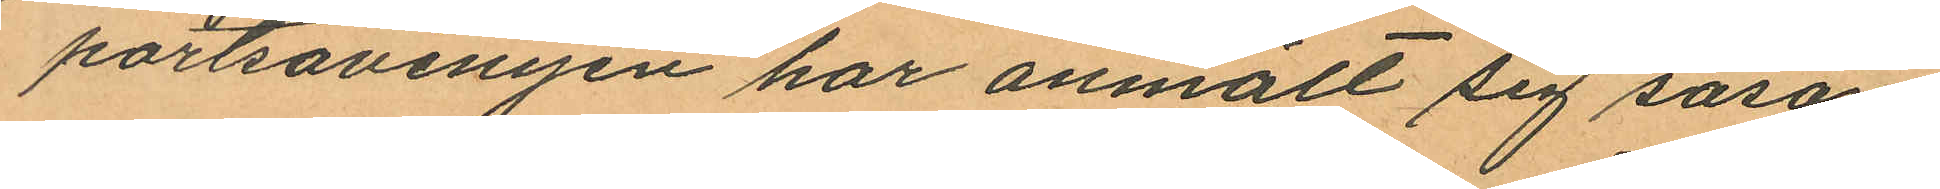portsavenyen har anmält sig såsom
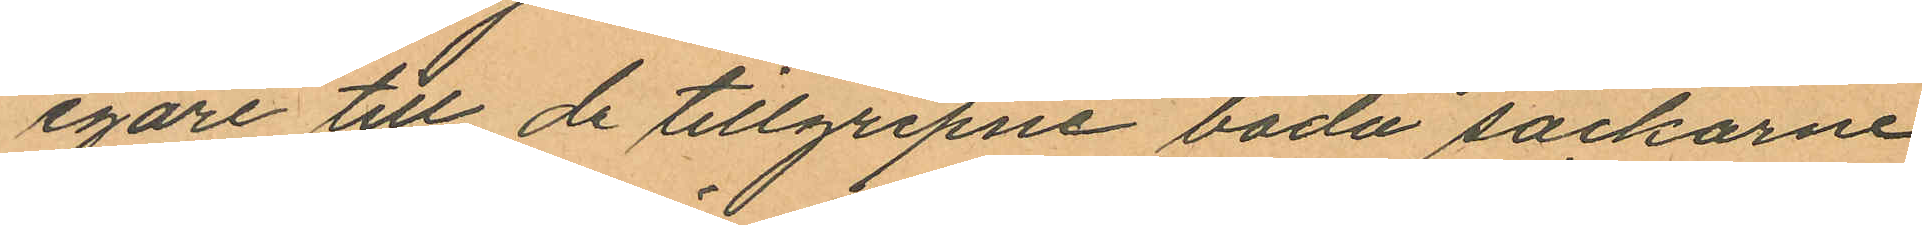egare till de tillgripne båda säckarne
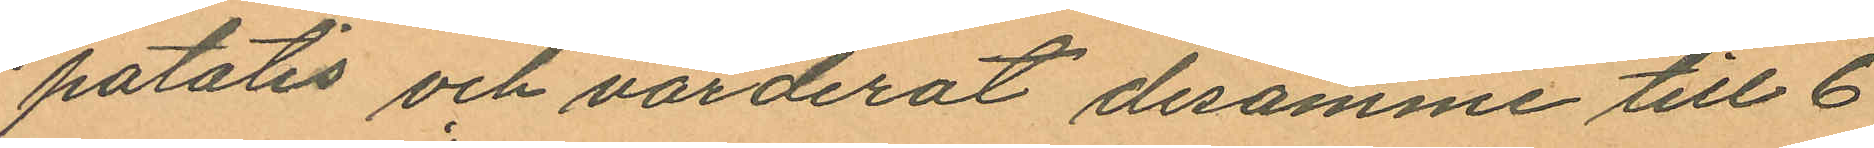potatis och värderat desamme till 6
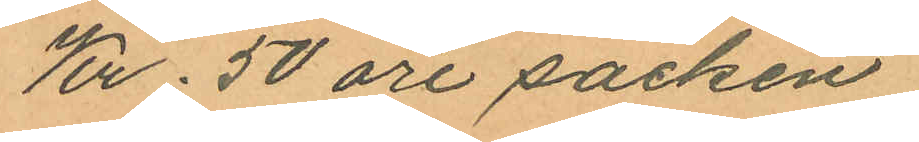Kr. 50 öre säcken.
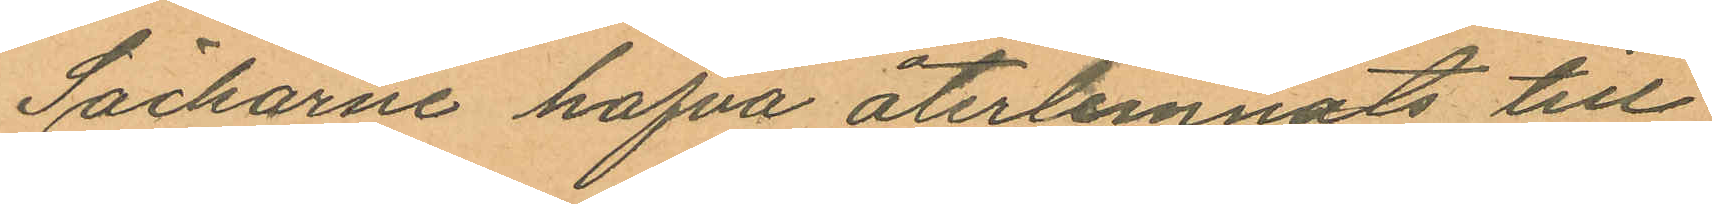Säckarne hafva återlemnats till
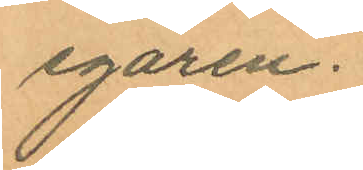egaren.
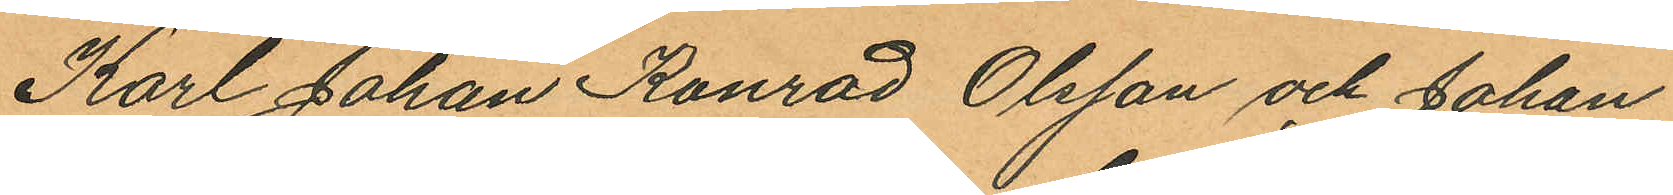Karl Johan Konrad Olsson och Johan
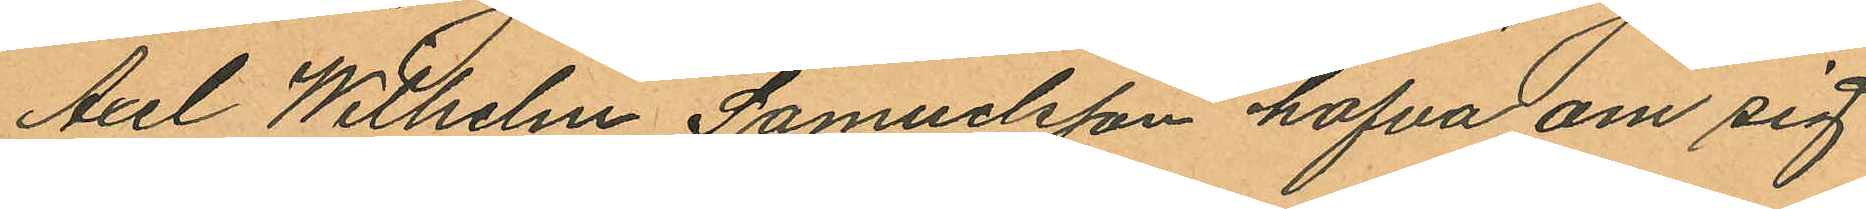Axel Wilhelm Samuelsson hafva om sig
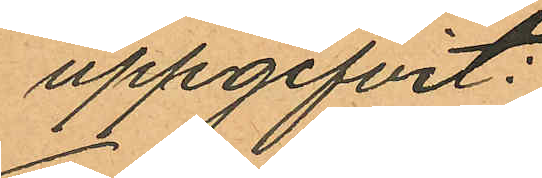uppgifvit:
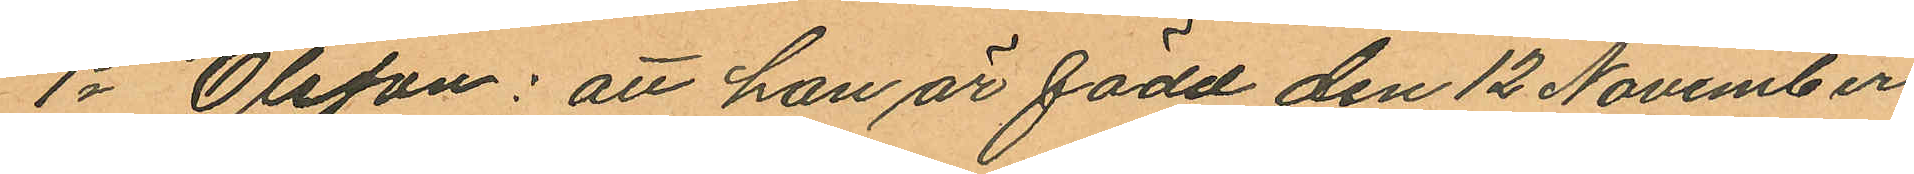1o Olsson: att han är född den 12 November
